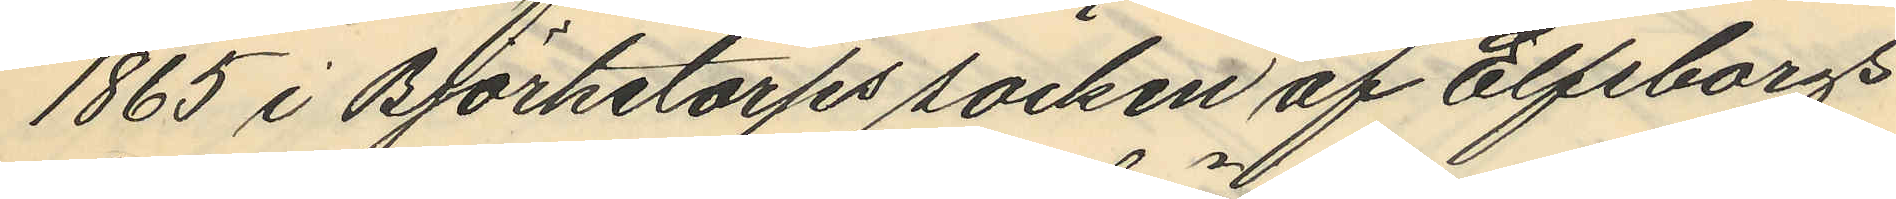1865 i Björketorps socken af Elfsborgs
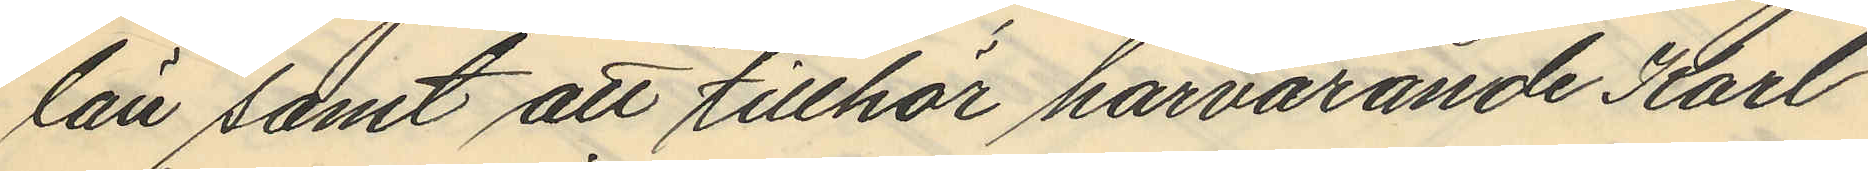län samt att tillhör härvarande Karl
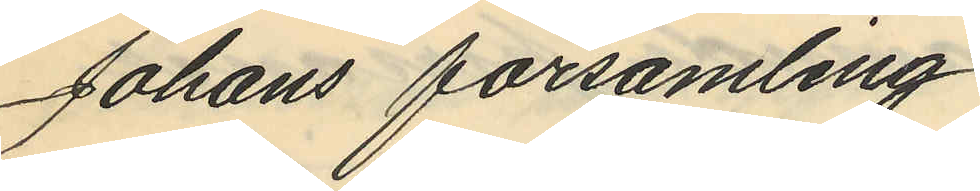Johans församling.
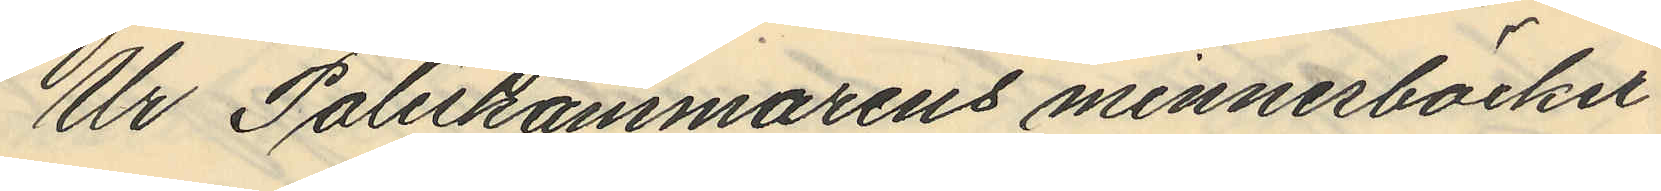Ur Poliskammarens minnesböcker
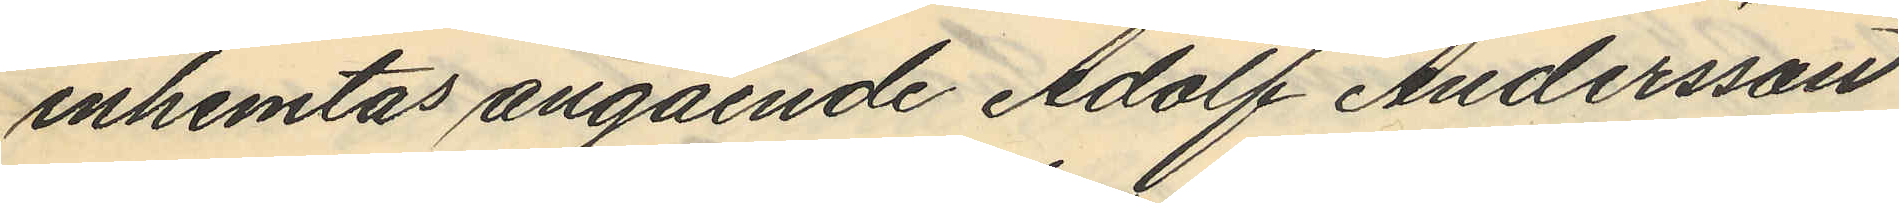inhemtas angående Adolf Andersson
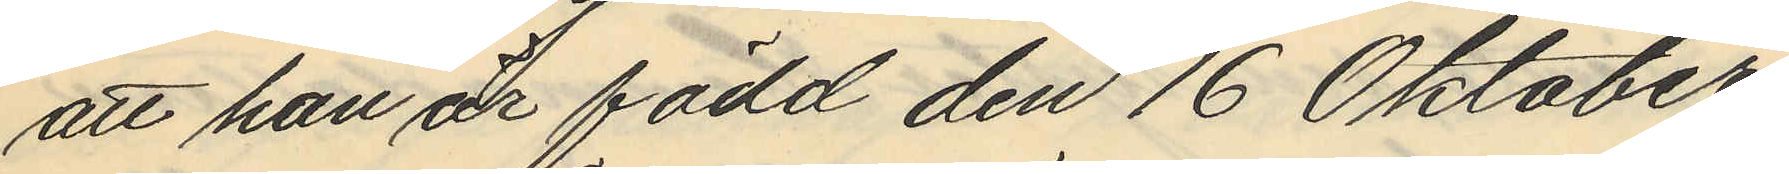att han är född den 16 Oktober
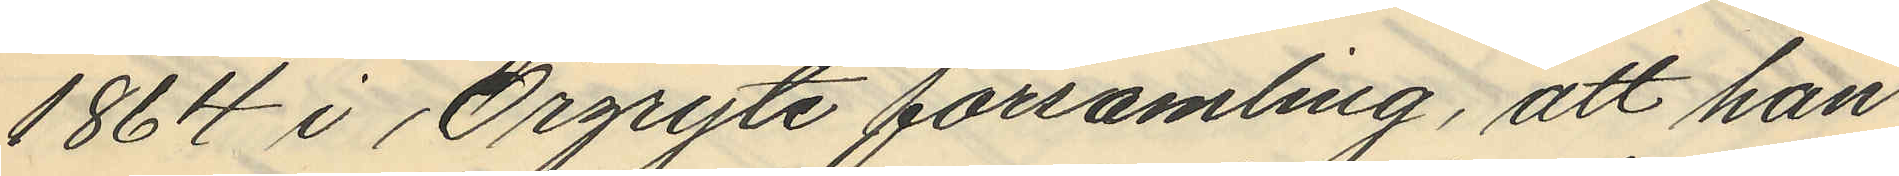1864 i Örgryte församling, att han
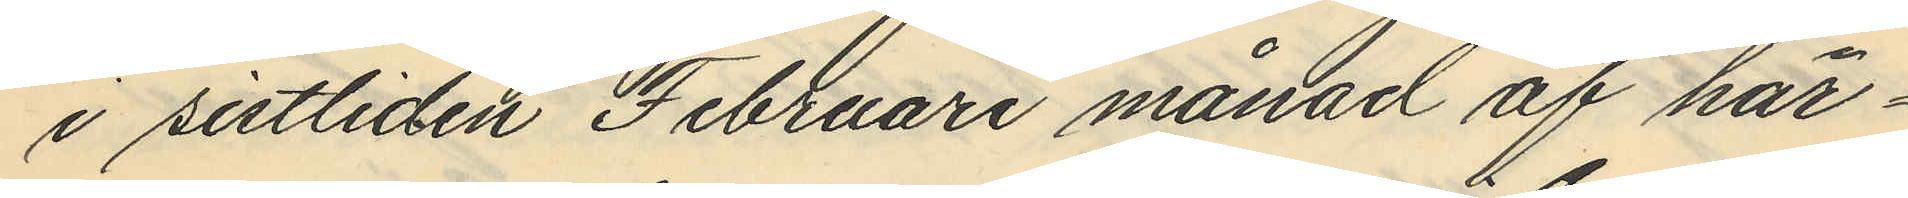i sistliden Februari månad af här¬
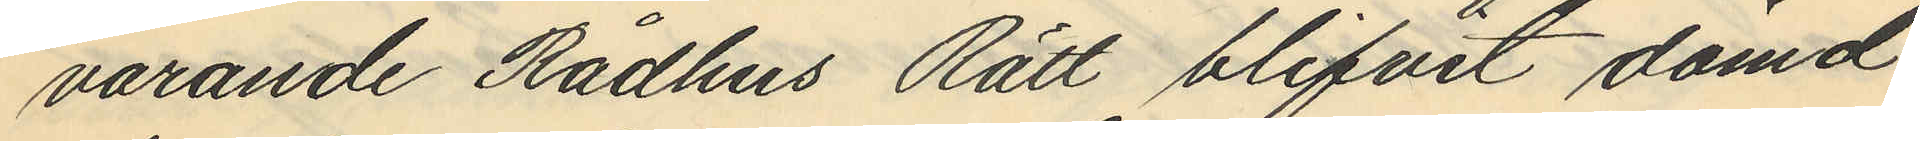varande Rådhus Rätt blifvit dömd
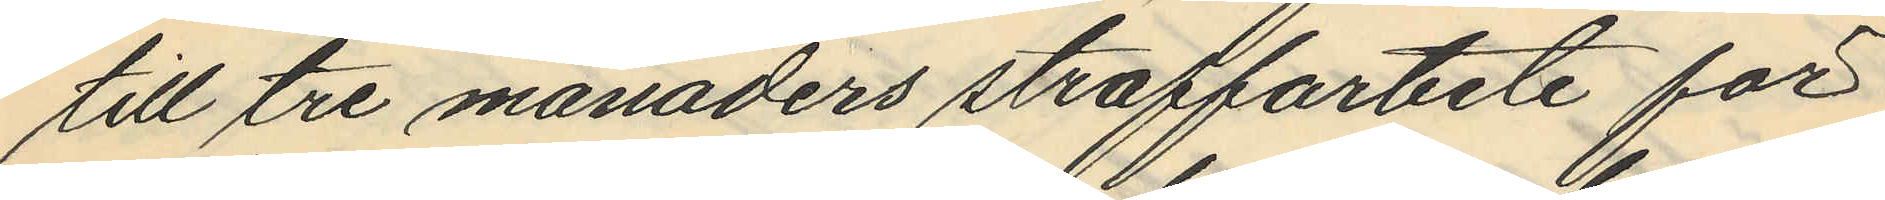till tre månaders straffarbete för
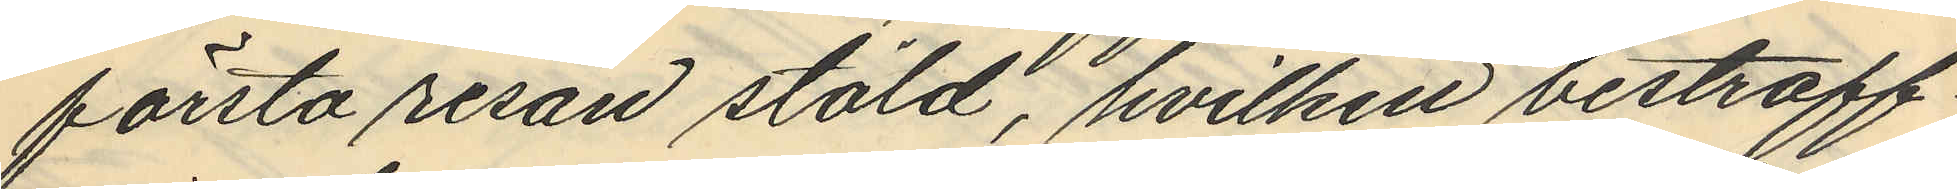första resan stöld, hvilken bestraff¬
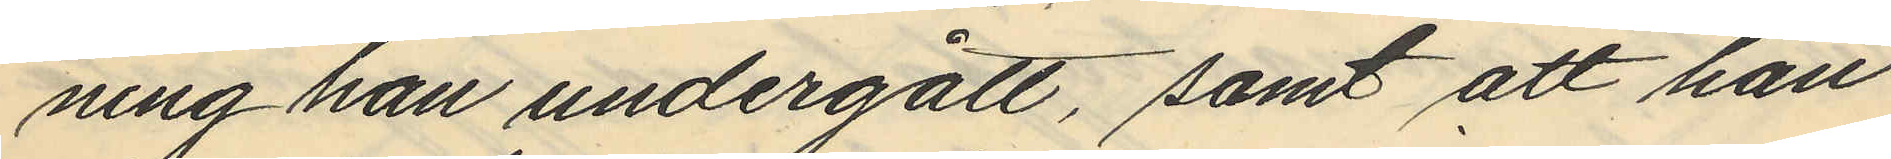ning han undergått, samt att han
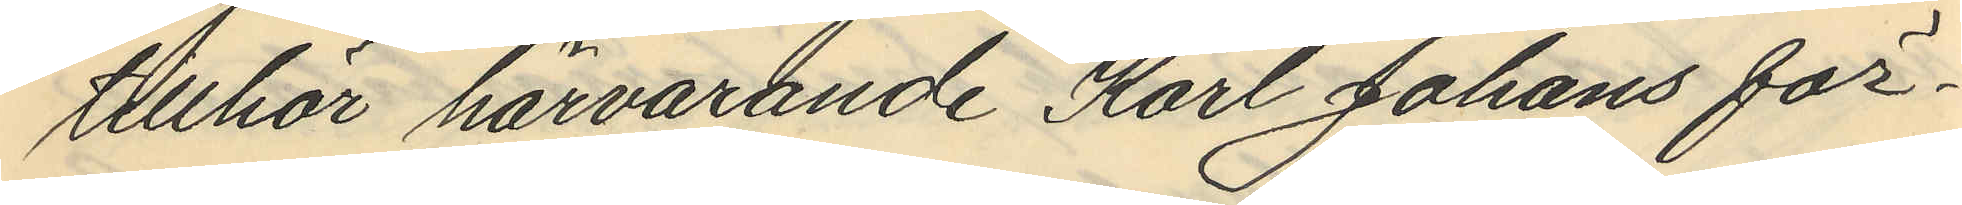tillhör härvarande Karl Johans för¬
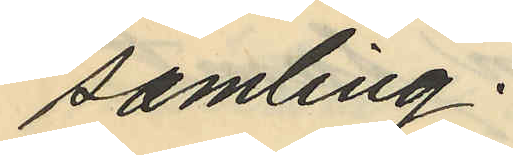samling.
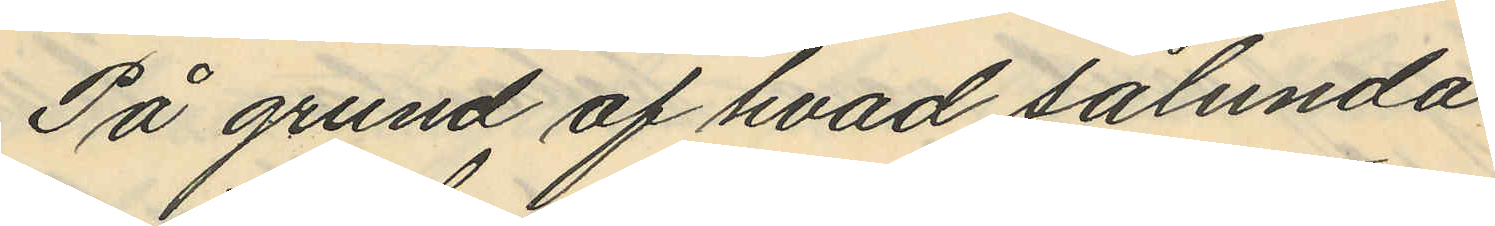På grund af hvad sålunda
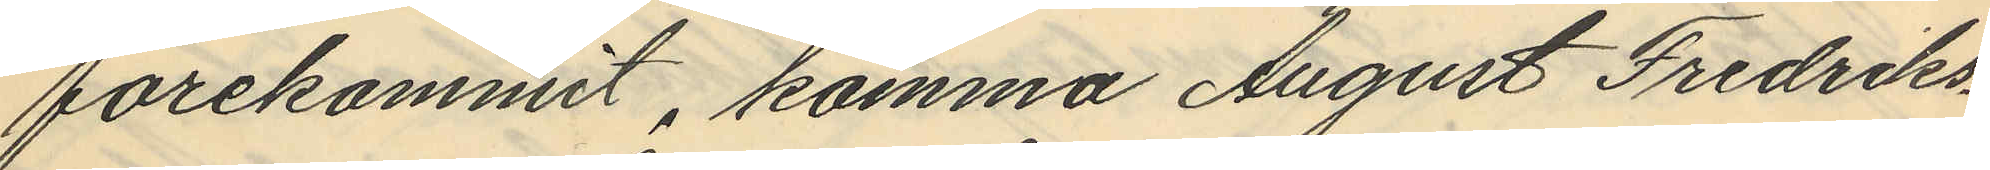förekommit, komma August Fredriks¬
